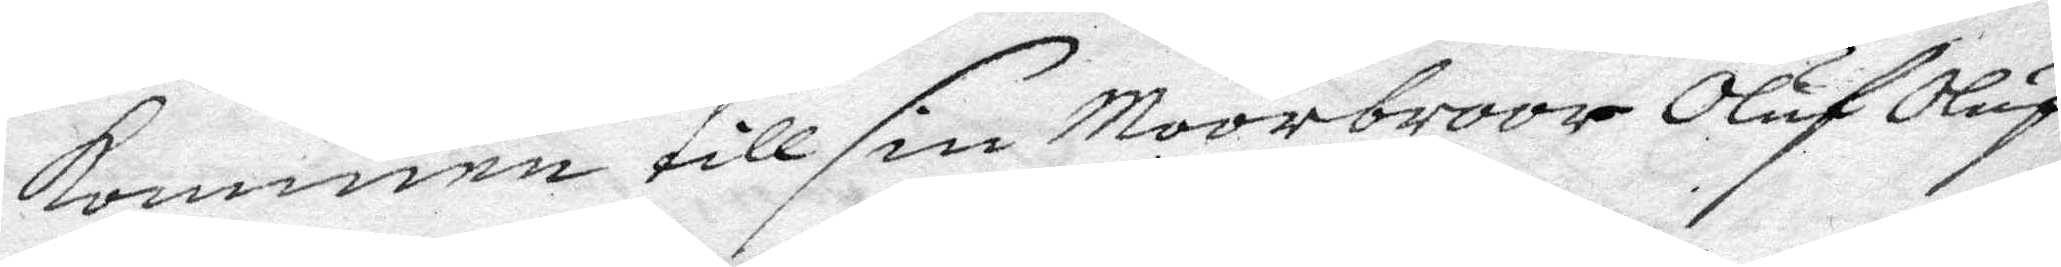kommen till sin Moorbroor Oluf Oluf¬
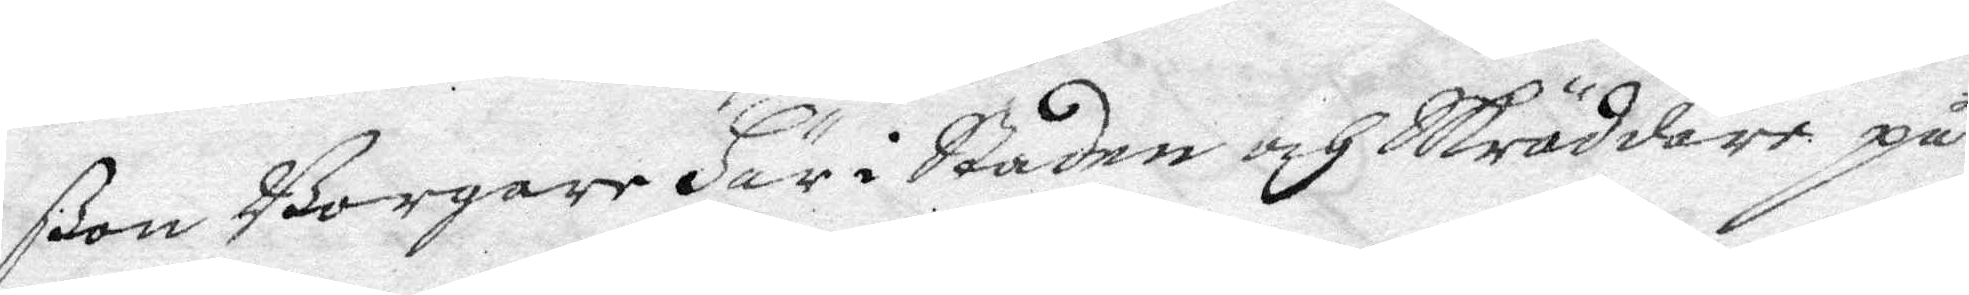ßon Borgare Här i Staden och Skräddare på
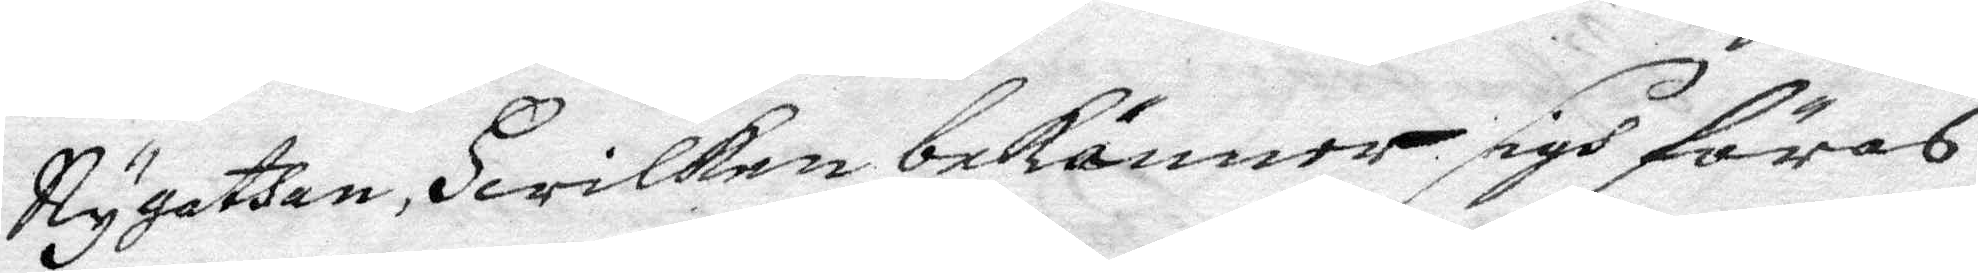Nygathan, Hwilken bekänner sigh föras
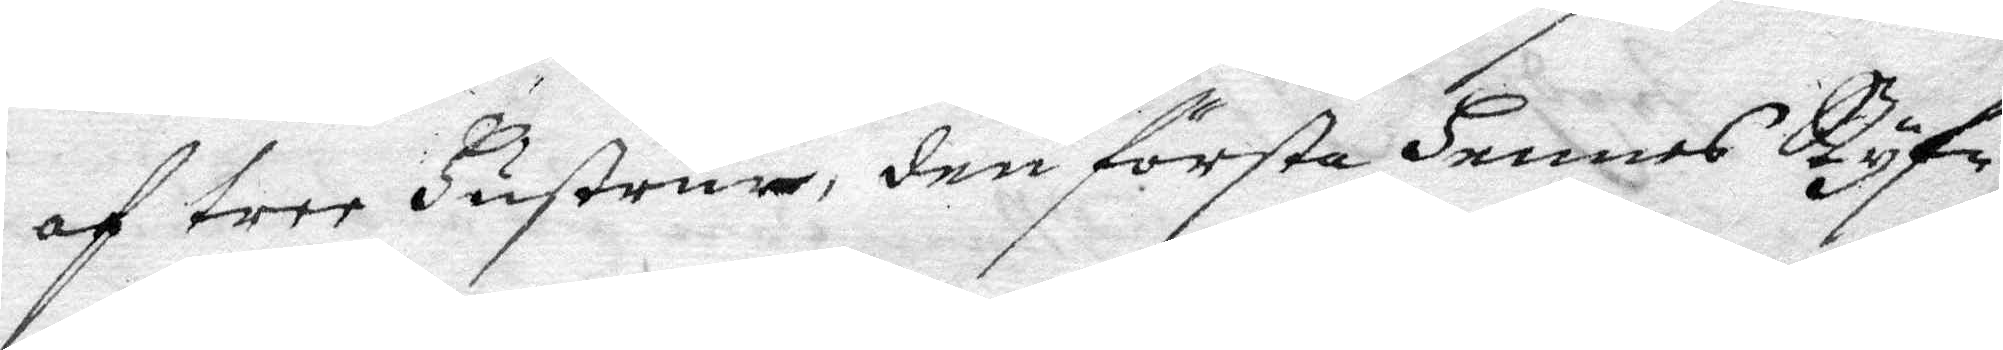af tree Hustrus, den första Hennes Styf¬
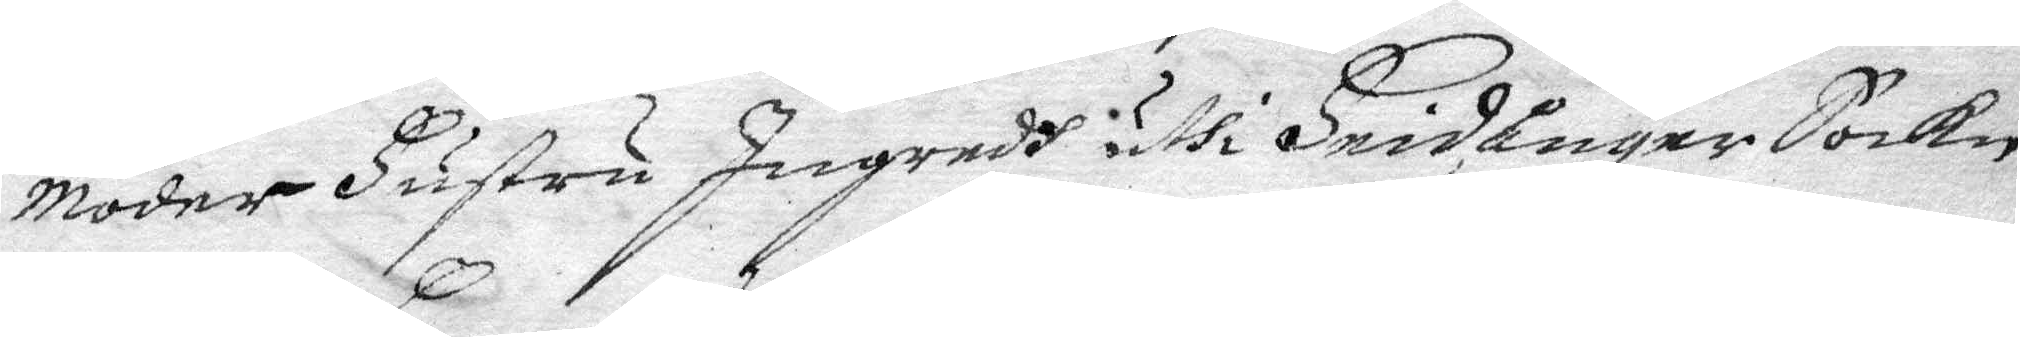moder Hustru Ingredh uthi Hnidånger Sokn
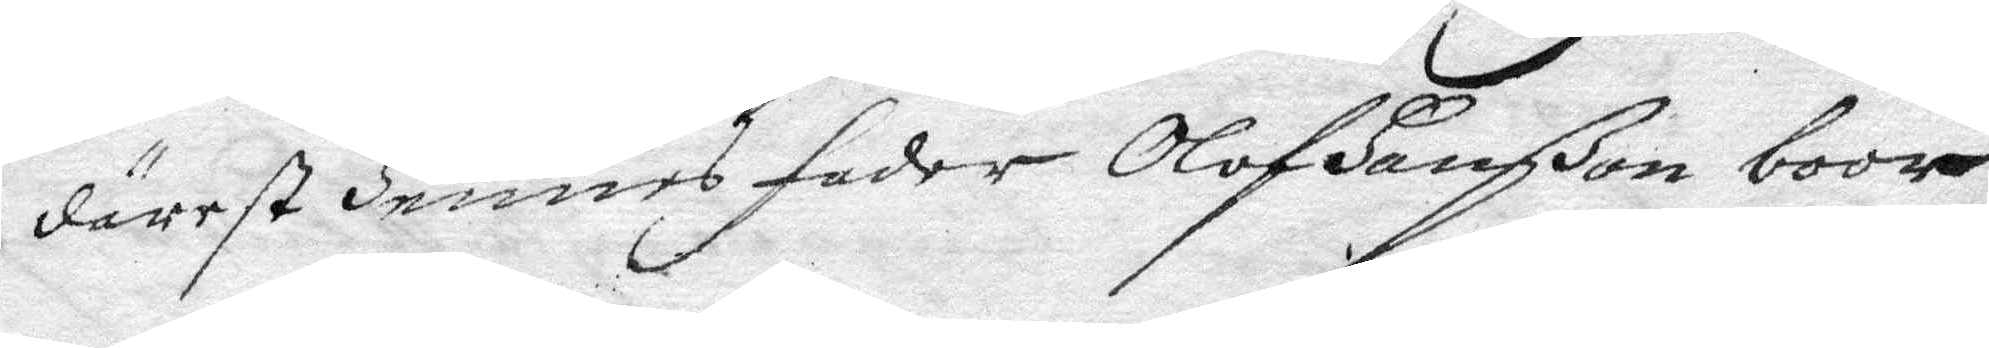därest Hennes fader Olof Hanßon boor
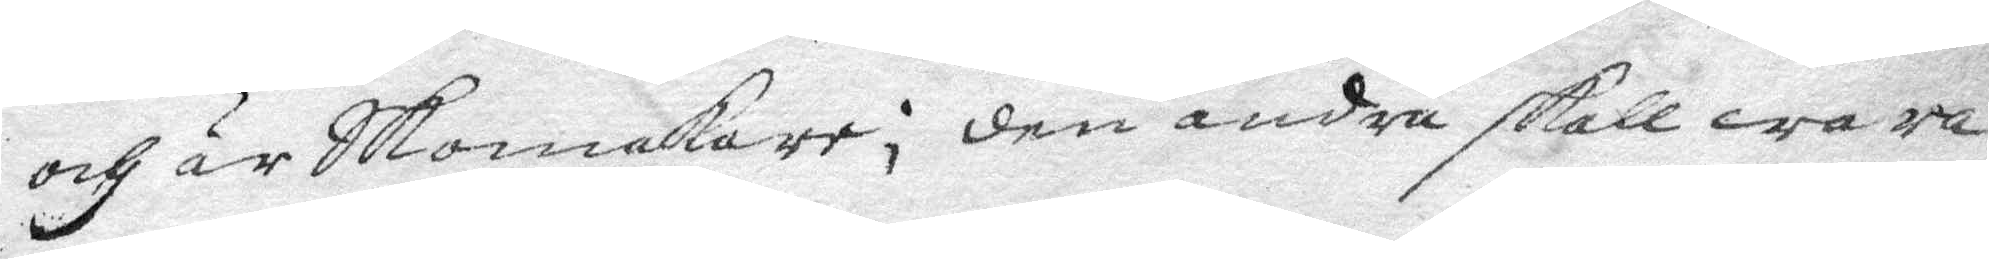och är Skomakare; den andra skall wara
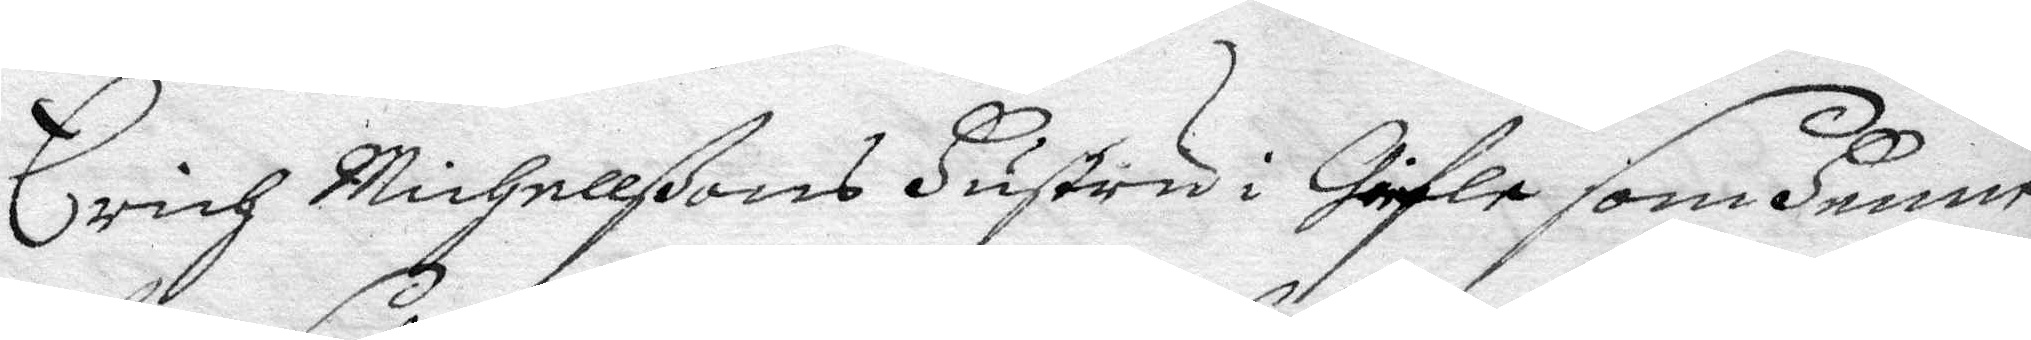Erich Michellßons Hustru i Giefle som Henne
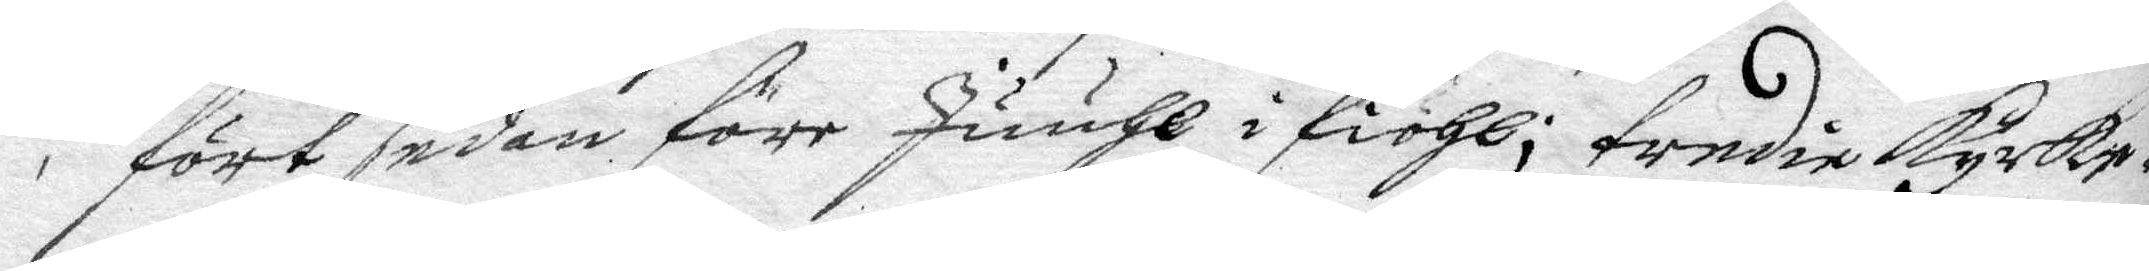fört sedan före Juuhl i fiohl; tredie kyrke¬
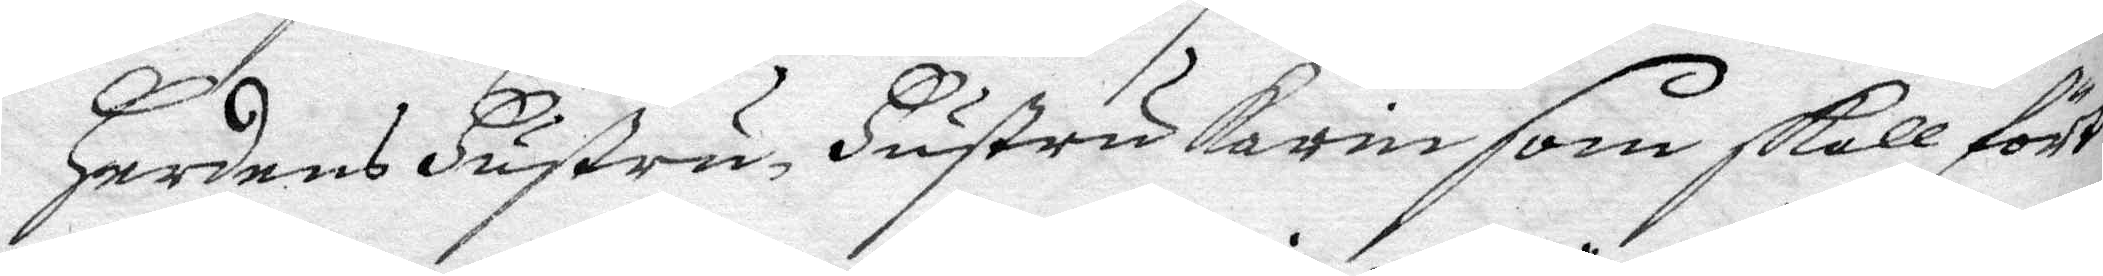Herdens Hustru Hustru Karin som skall fört
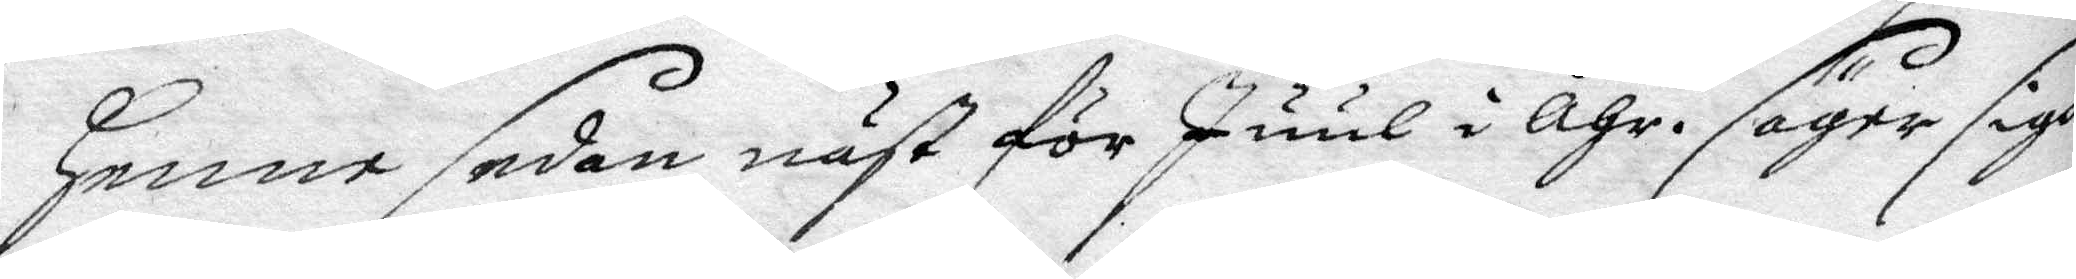Henne sedan näst för Juul i åhr. säger sigh
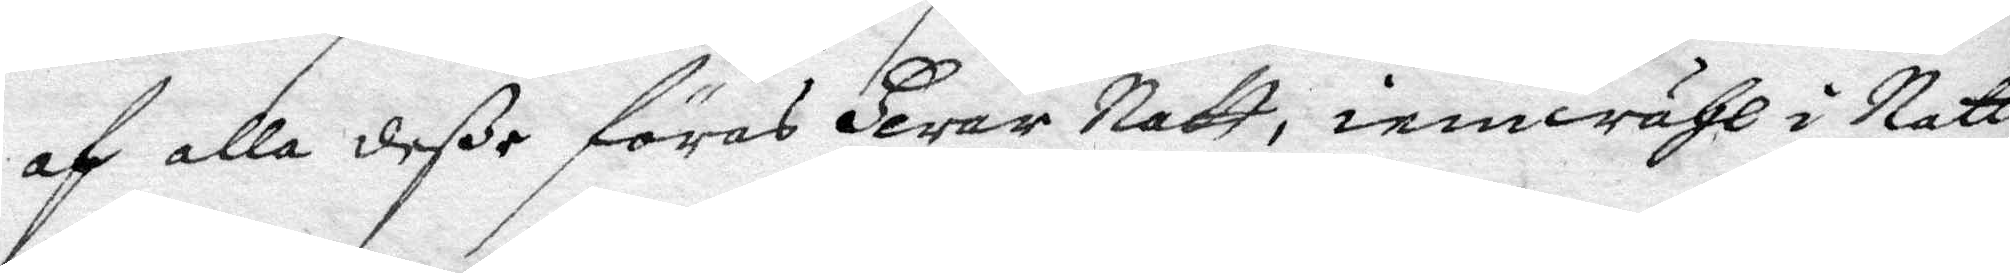af alla deVe föras Hwar Natt, iemwähl i Natt
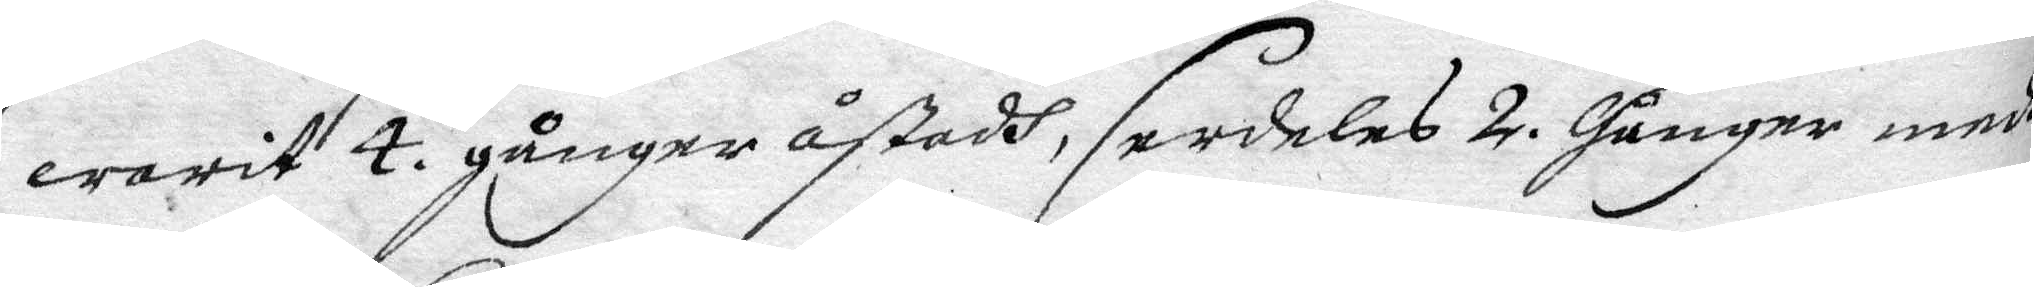warit 4. gånger åstadh, serdeles 2. gånger medh
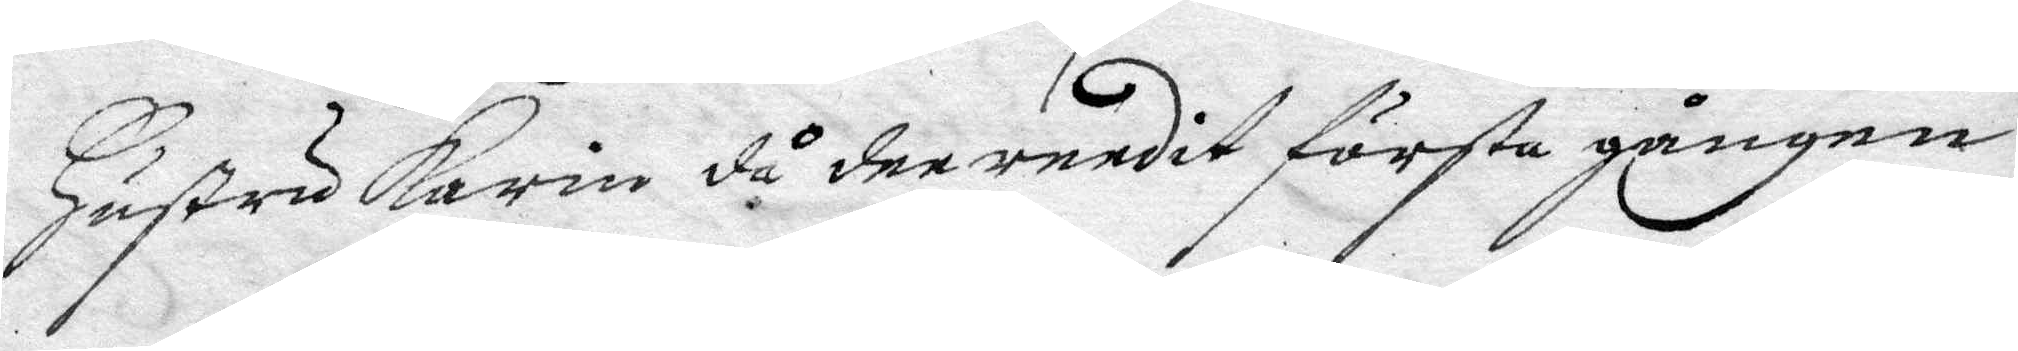Hustru Karin då dee redit första gången
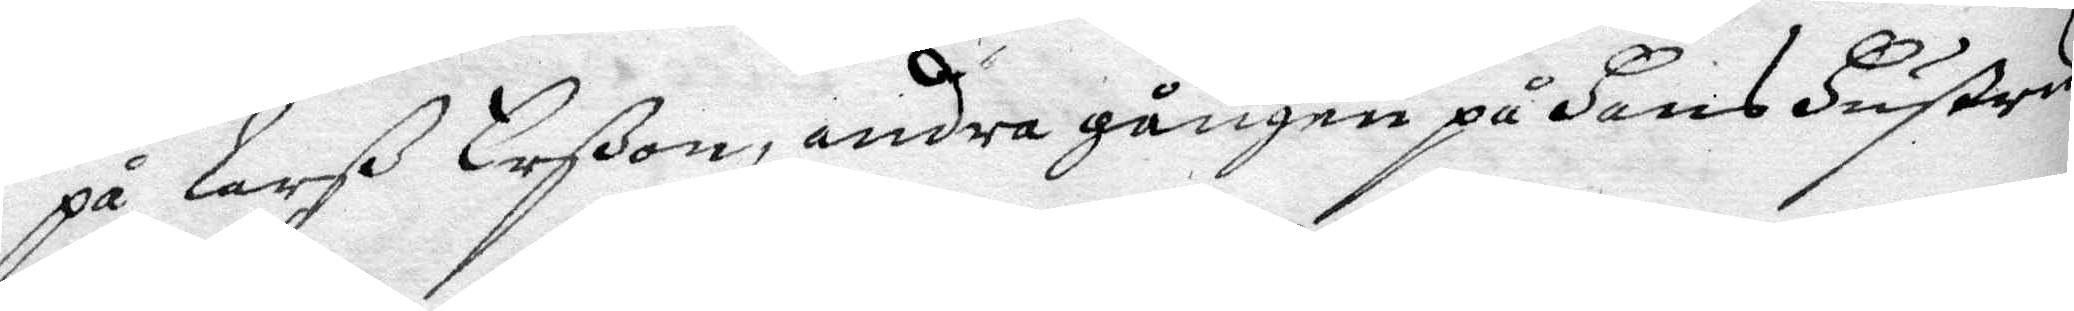på Larß Larßon, andra gången på Hans Hustru
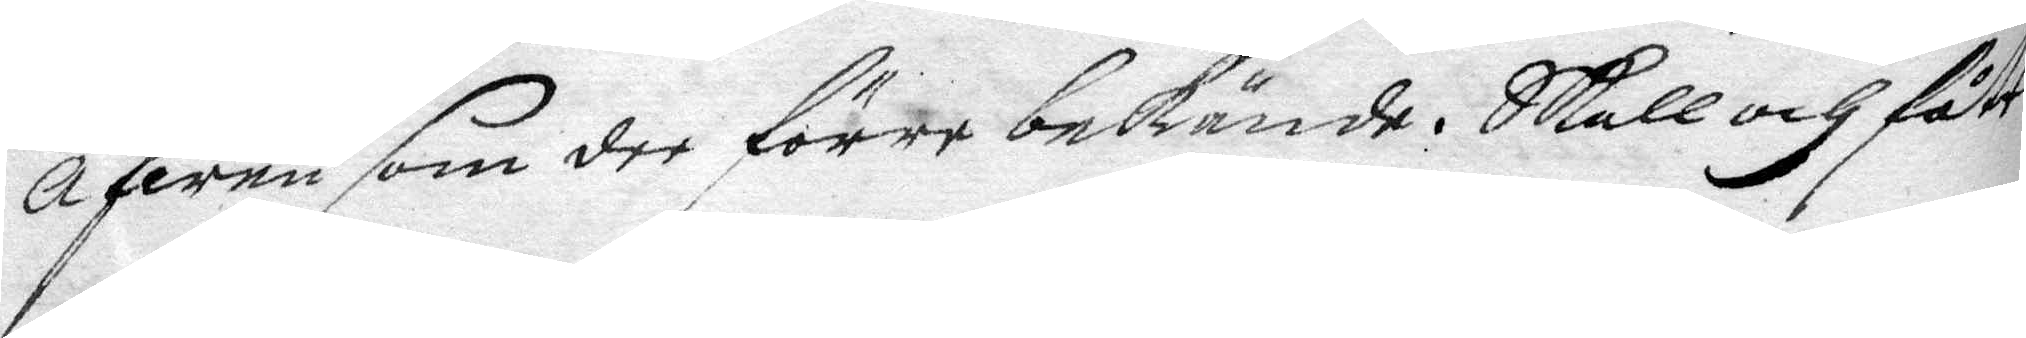Äfwen som dee förre bekände. Skall och fått
